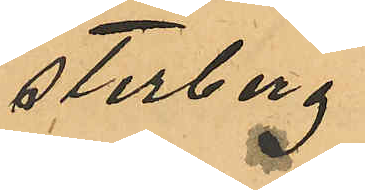sterberg.
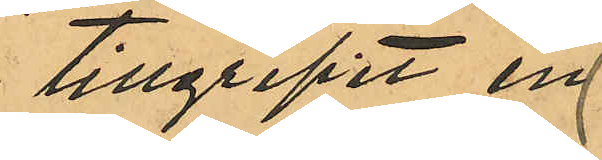tillgripit en
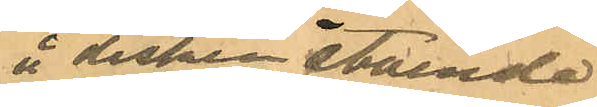å disken stående
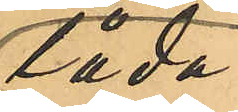låda
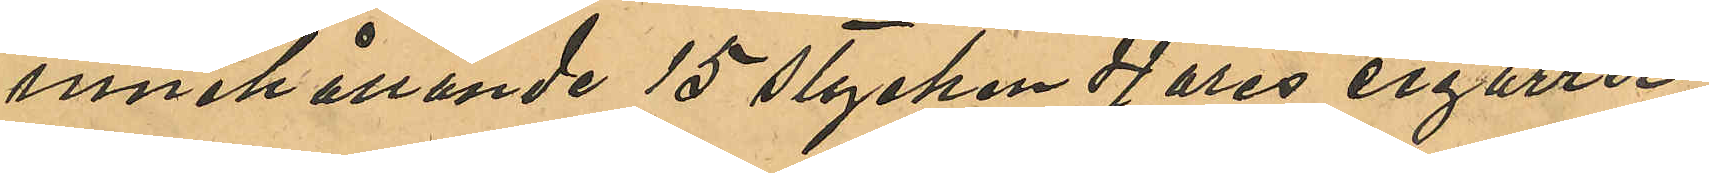innehållande 15 stycken 4 öres cigarrer
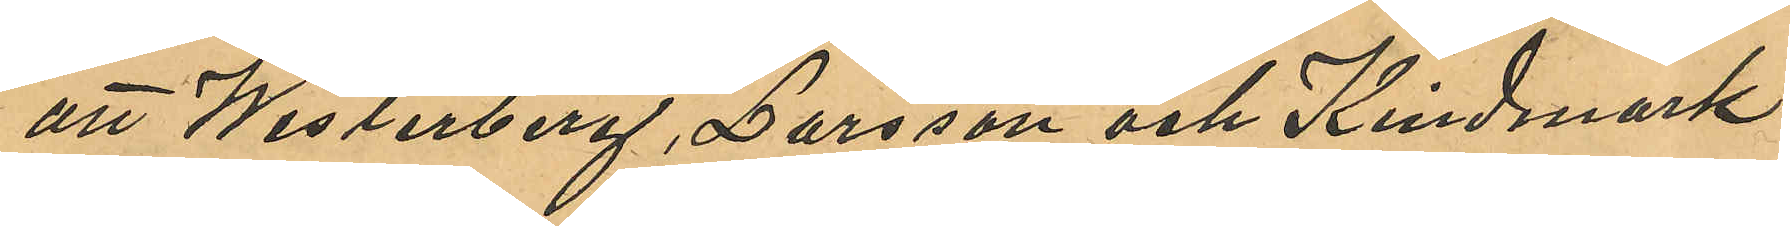att Westerberg, Larsson och Kindmark
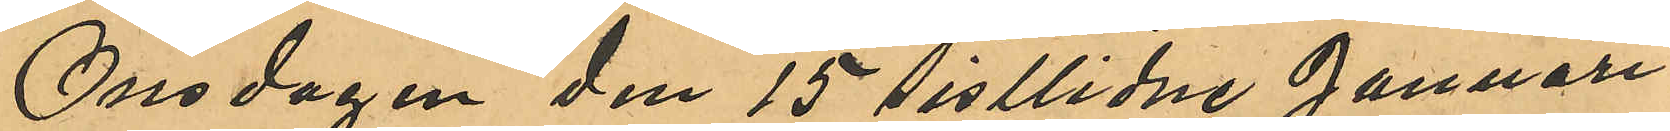Onsdagen den 15 sistlidne Januari
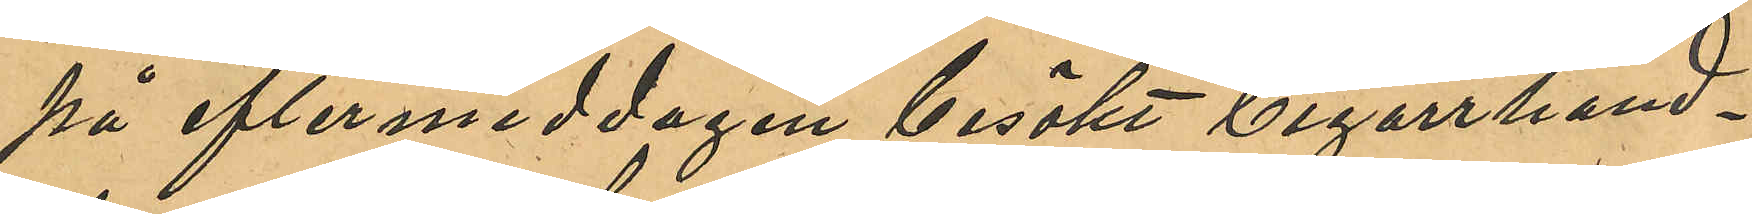på eftermiddagen besökt Cigarrhand¬
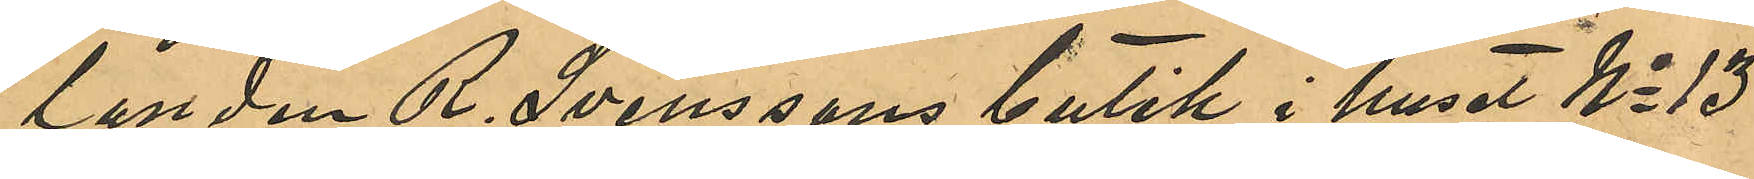landen R. Svenssons butik i huset No 13
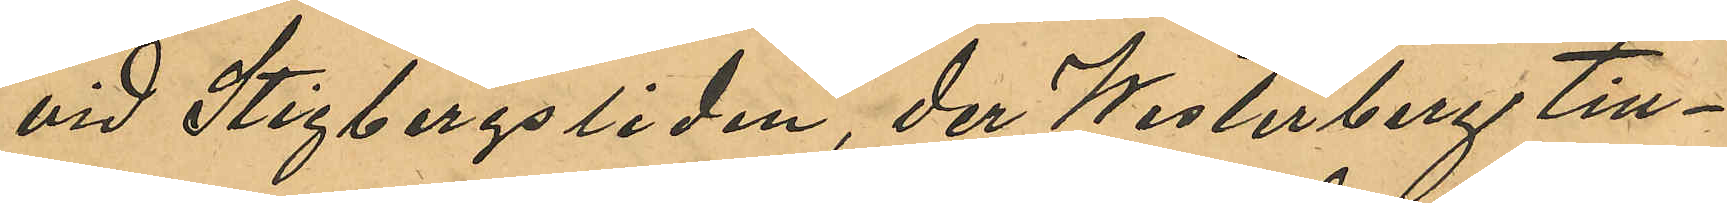vid Stigbergsliden, der Westerberg till¬
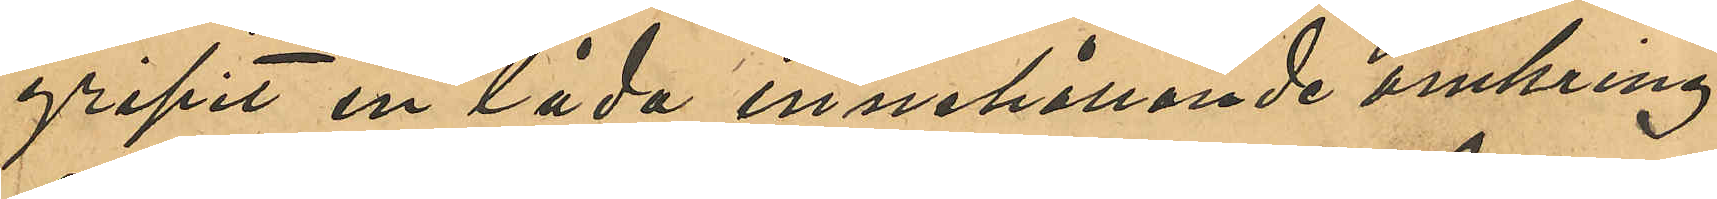gripit en låda innehållande omkring
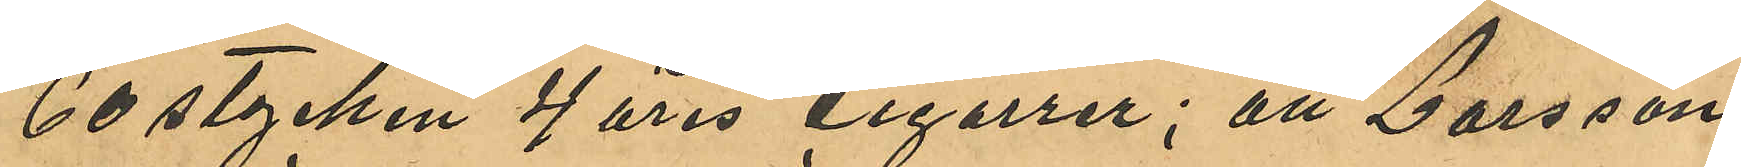60 stycken 4 öres cigarrer; att Larsson
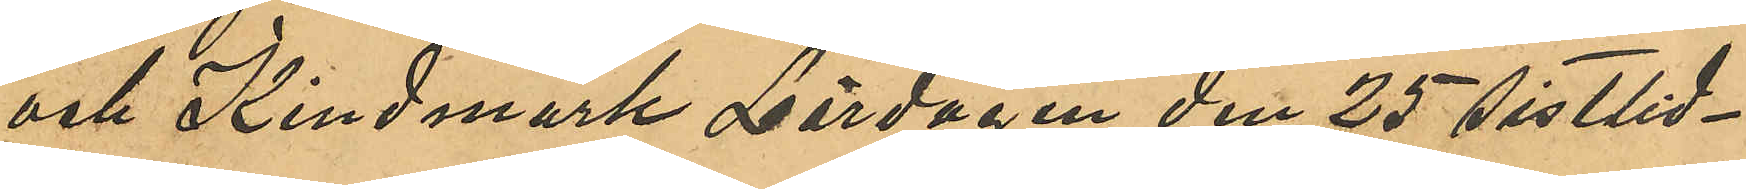och Kindmark Lördagen den 25 sistlid¬
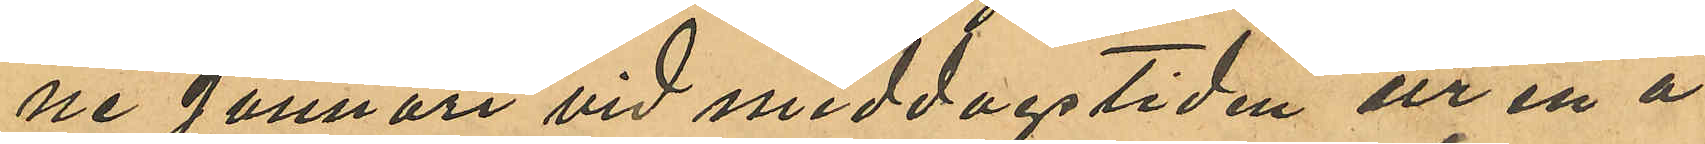ne Januari vid middagstiden ur en å
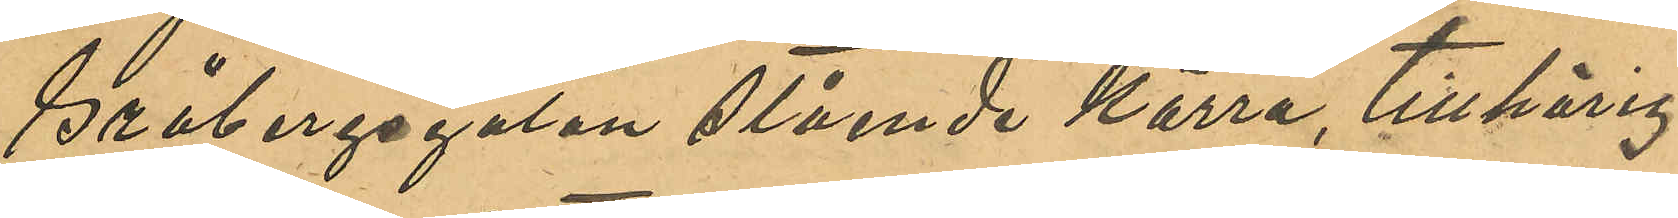Gråbergsgatan stående kärra, tillhörig
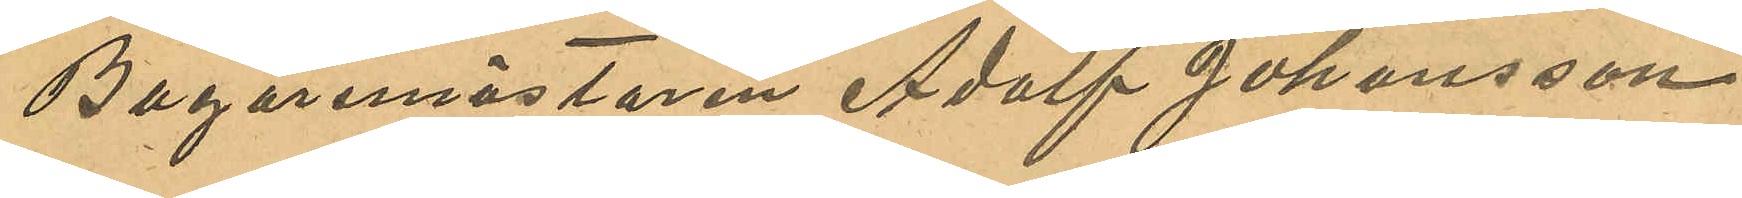Bagaremästaren Adolf Johansson
